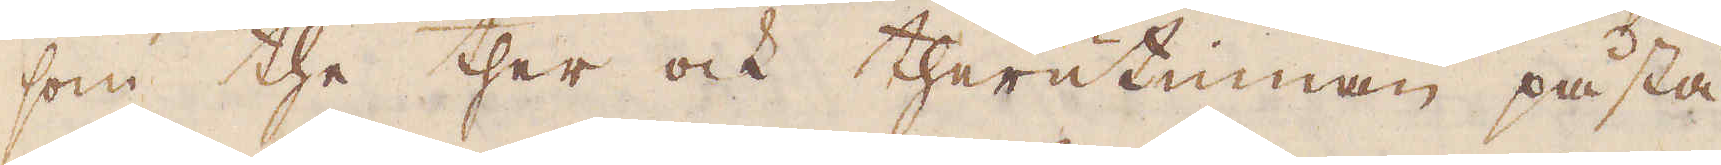som the ther ock therutinnan påstå
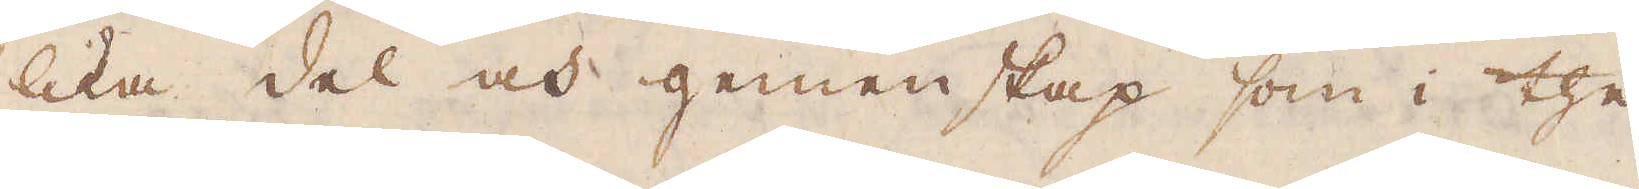lika del och gemenskap som i the
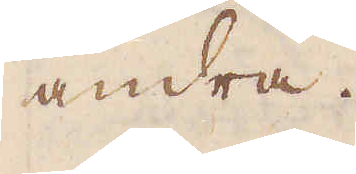andra.
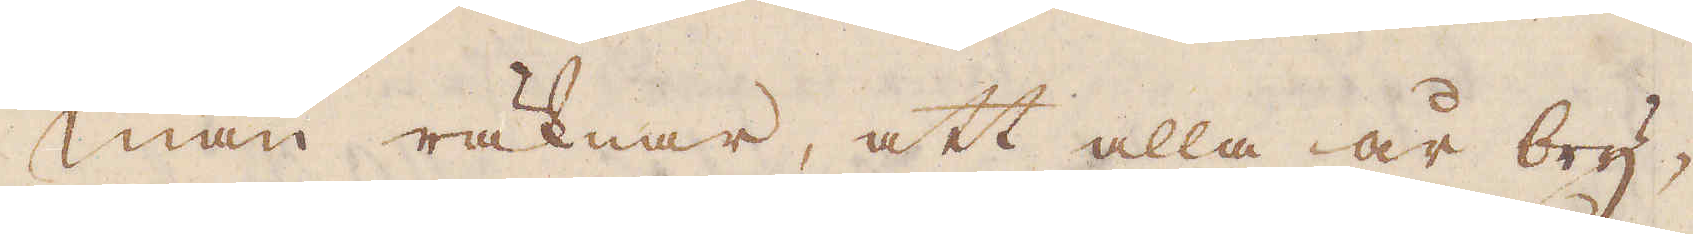Man räknar, att alla år bry-
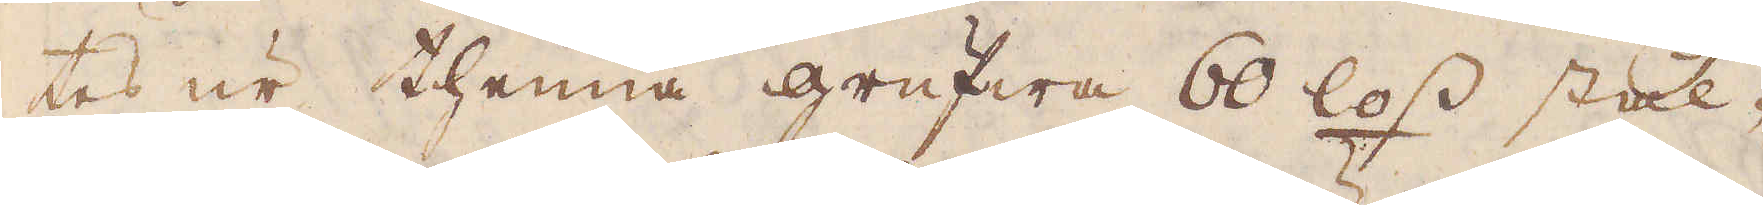tes ur thenna grufwa 60 loss stål-
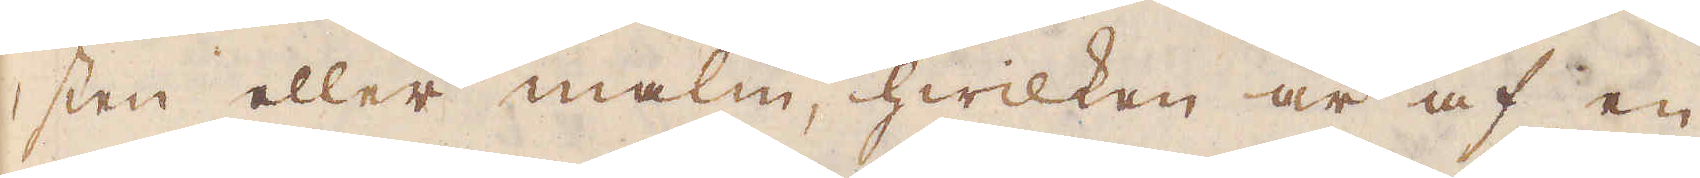sten eller malm, hwilken är af en
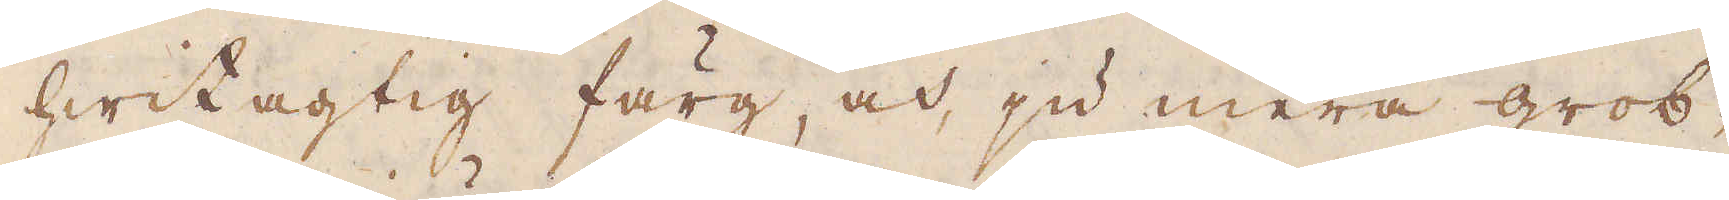hwitagtig färg, och ju mera grob-
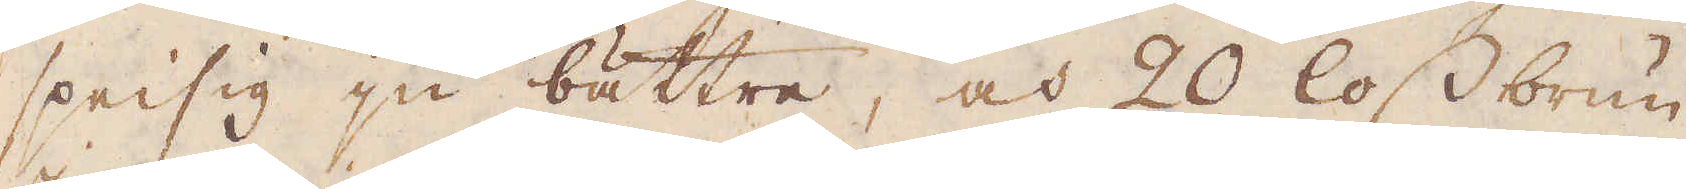speisig ju bättre, och 20 loss brun
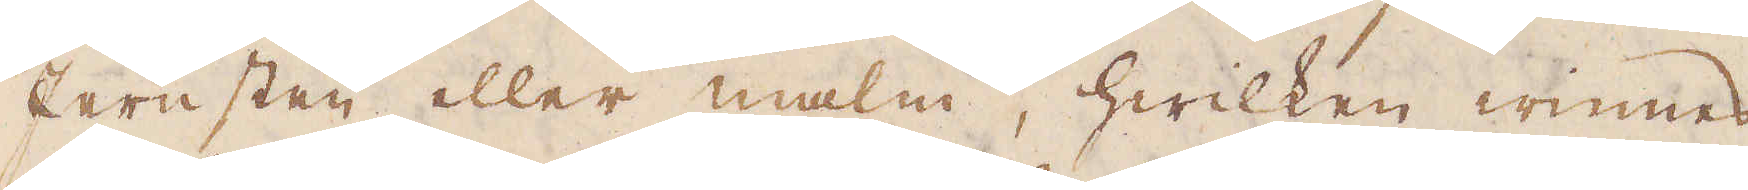Jernsten eller malm, hwilken winnes
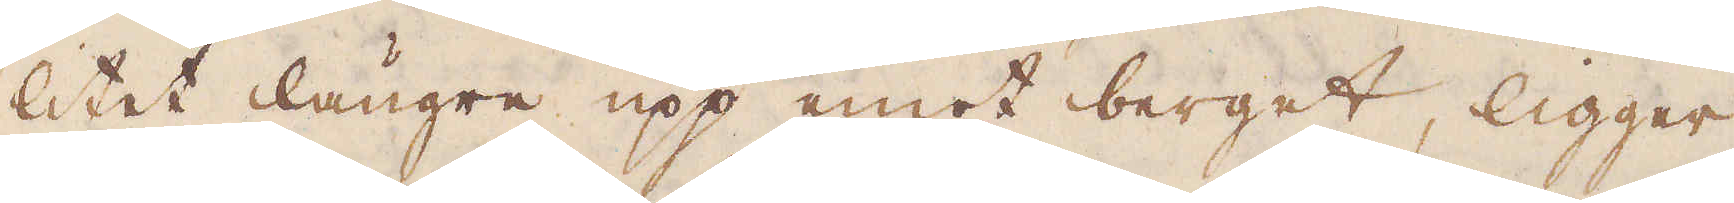litet längre upp emot berget, ligger
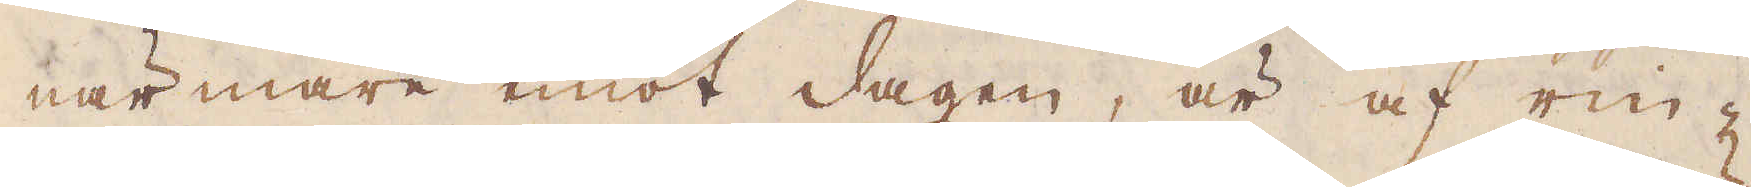närmare emot dagen, är af rin-
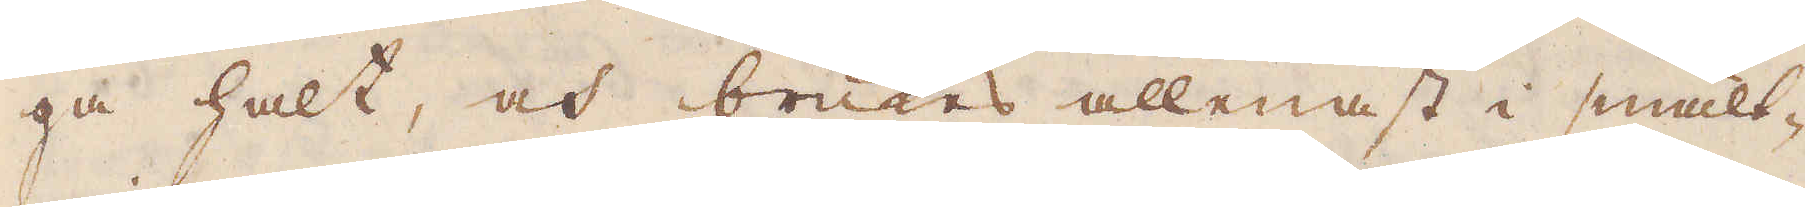ga halt, och brukes allenast i smält-
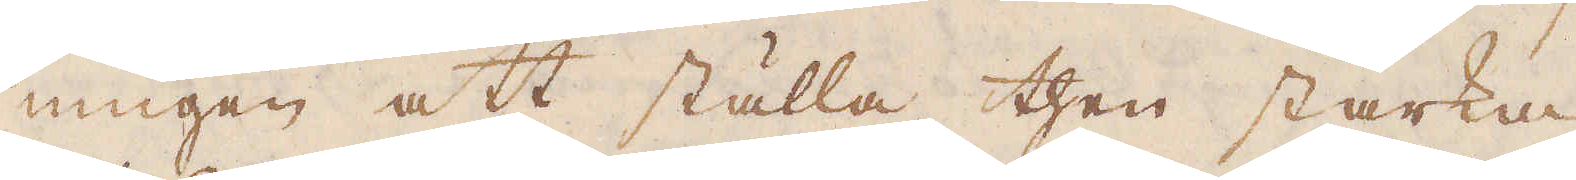ningen att ställa then starka
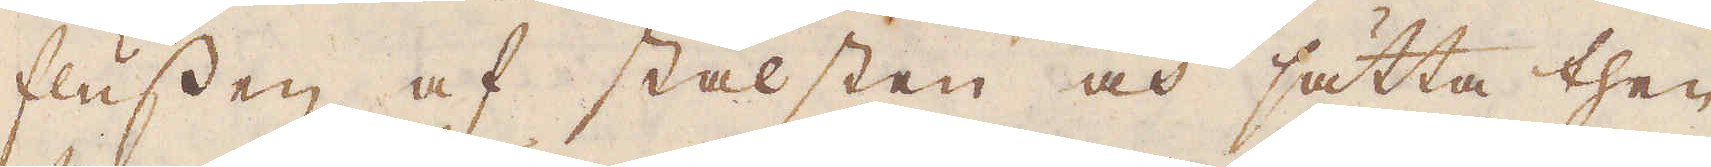flussen af stålsten och sätta then
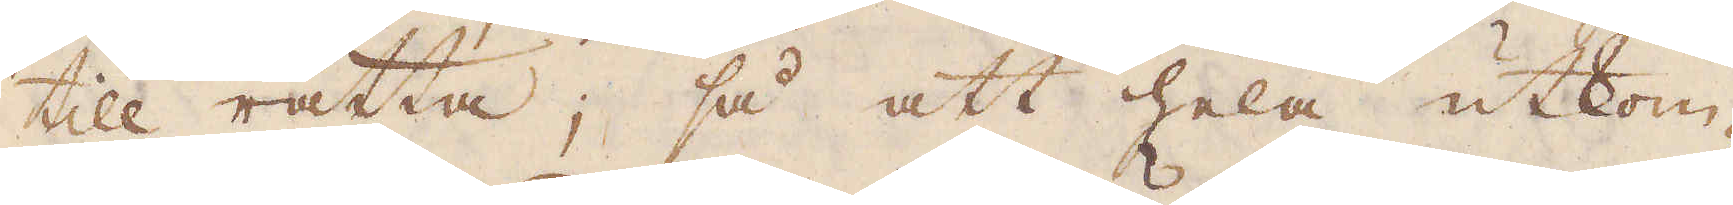till rätta; så att hela utkom-
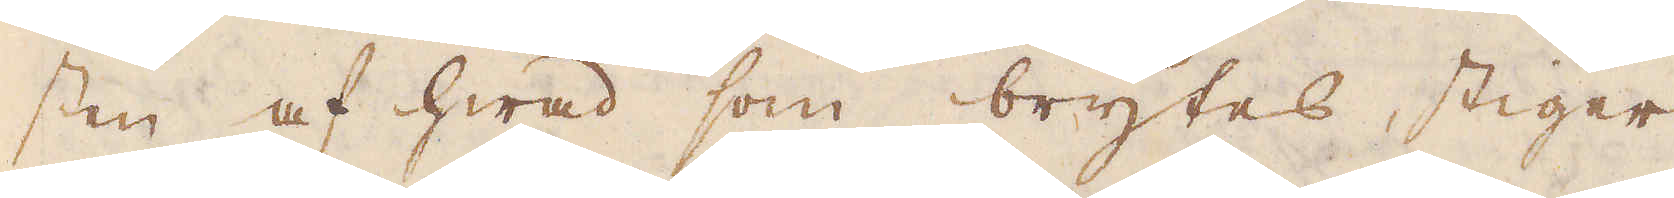sten af hwad som brytes stiger
